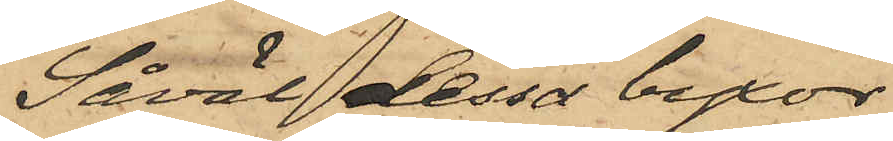Såväl dessa byxor
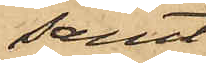samt
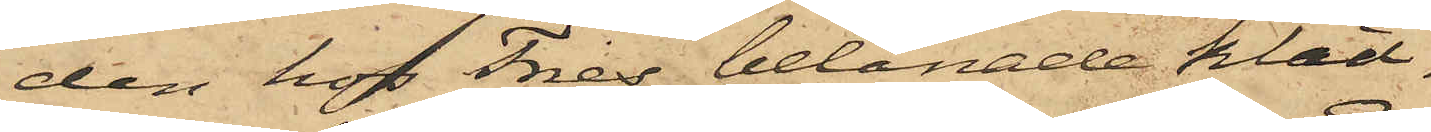den hos Fries belånade kläd¬
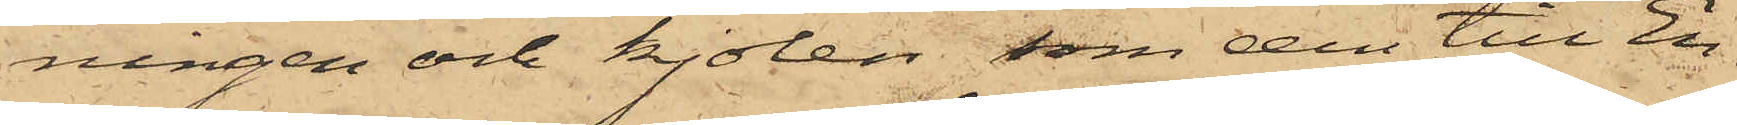ningen och kjolen, som den till En¬
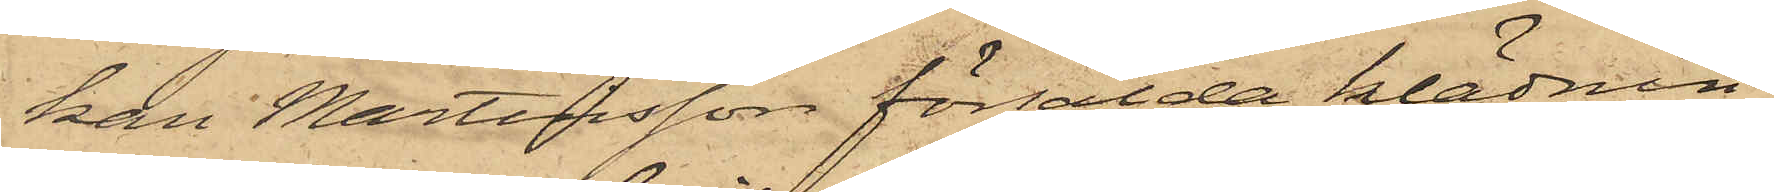kan Martinsson försålda klädnin¬
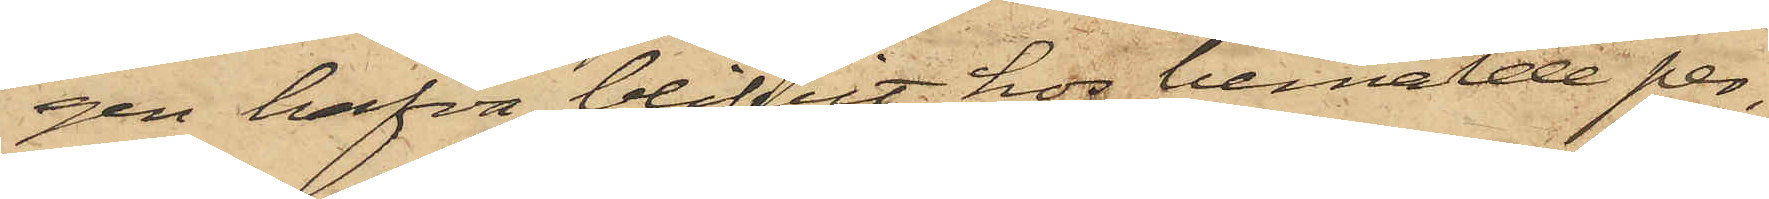gen hafva blifvit hos bemälde per¬
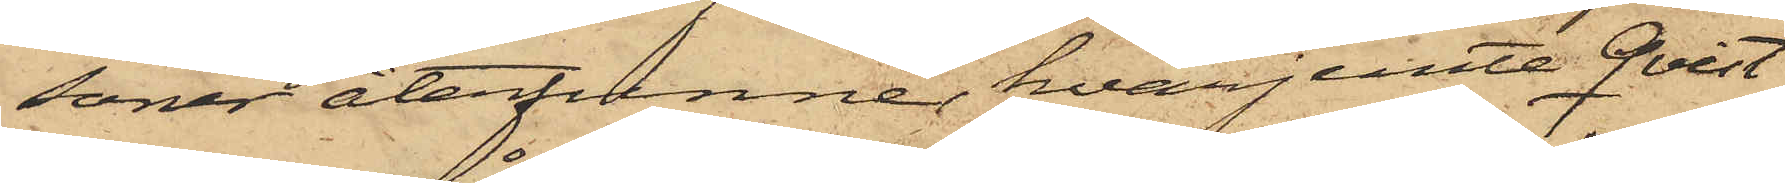soner återfunne, hvarjemte Qvist
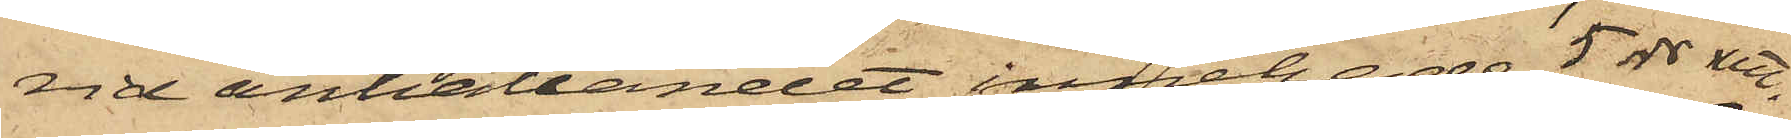vid anhållandet innehade 5 rdr rmt.
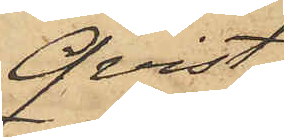Qvist
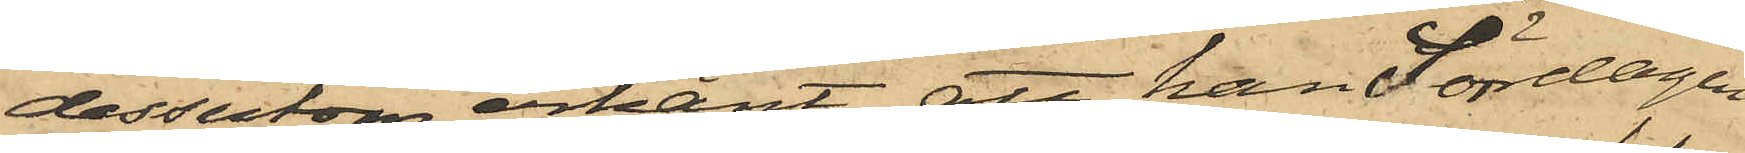dessutom erkänt, att han Söndagen
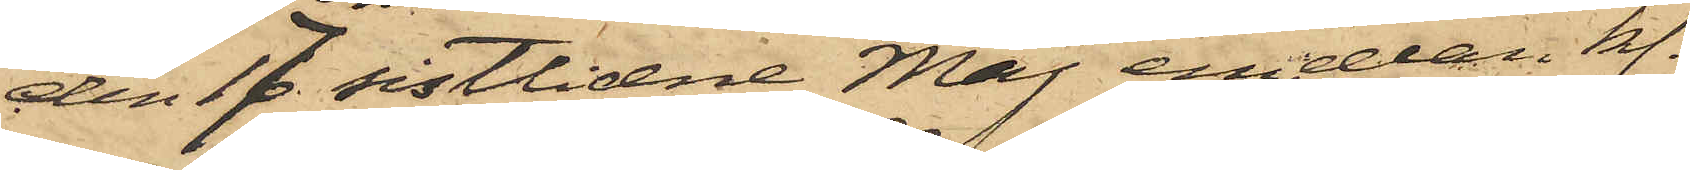den 17 sistlidne Maj emellan kl.
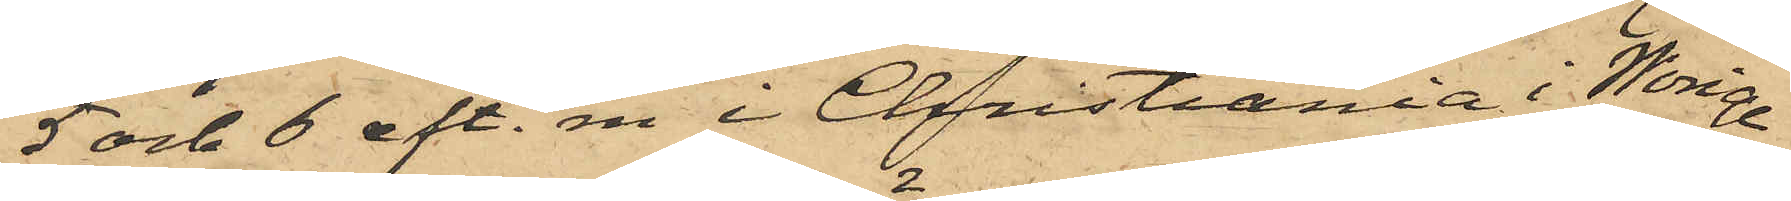5 och 6 eft. m i Christiania i Norige
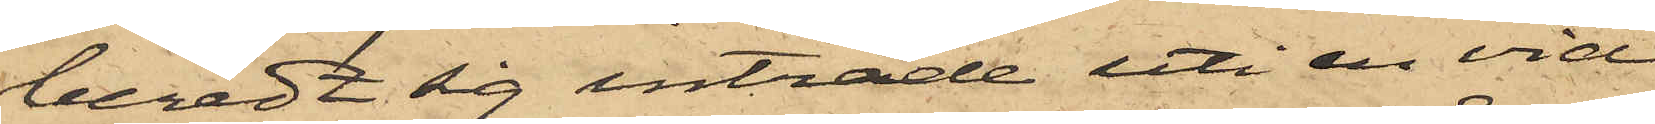beredt sig inträde uti en vid
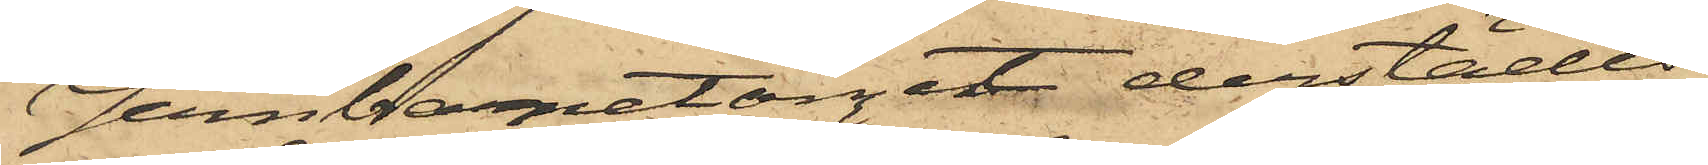Jernbarnetorget derstädes
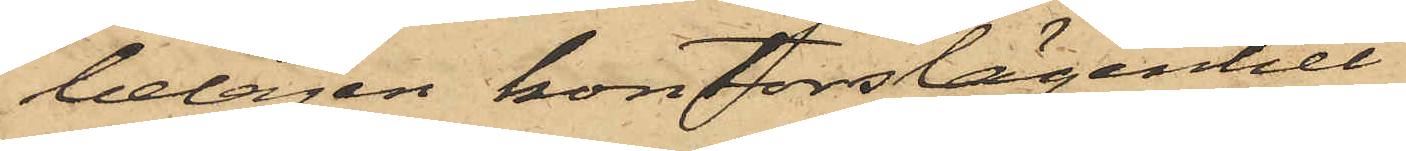belägen kontorslägenhet
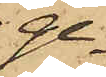ge¬
